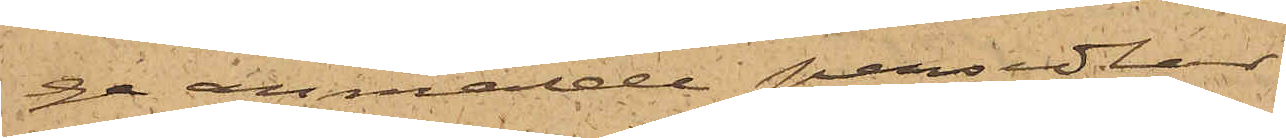ge anmälde persedlar.
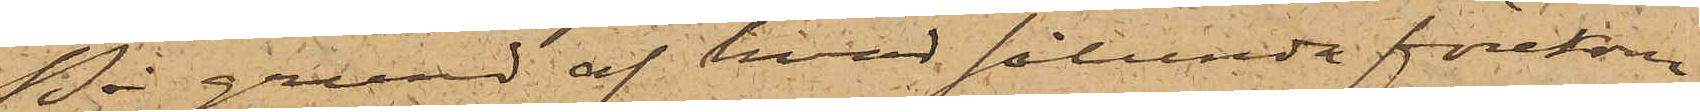På grund af hvad sålunda förekom¬
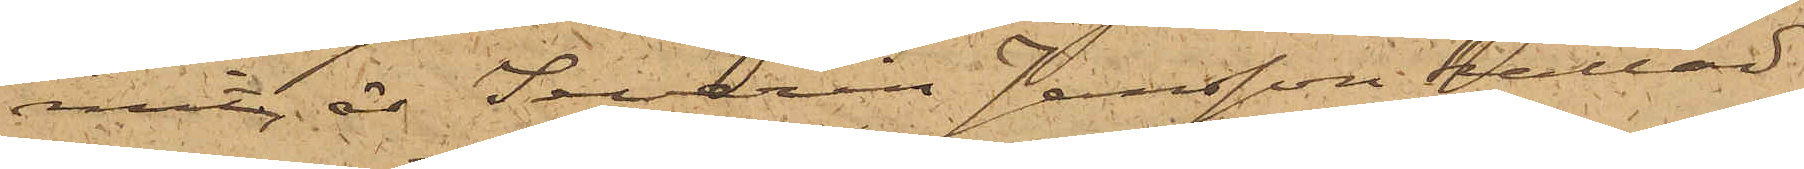mit är Severin Jansson kallad
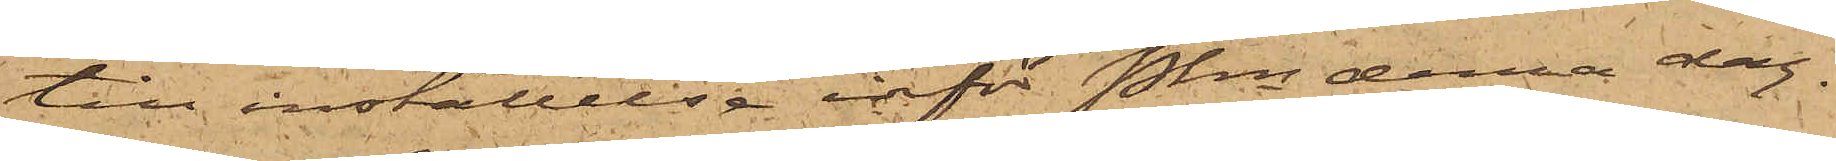till inställelse inför Pkn denna dag.
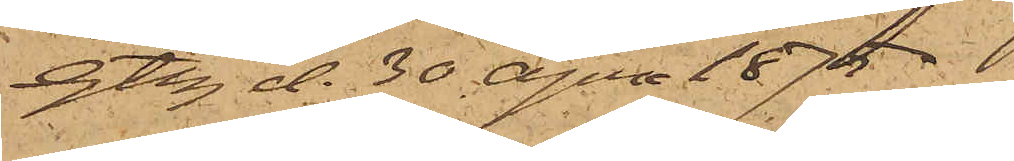Gtbg d. 30 April 1875.
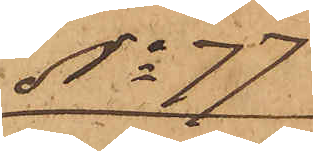No 77
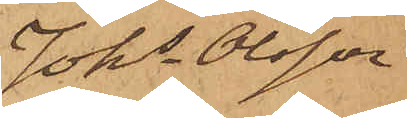Johs Olsson
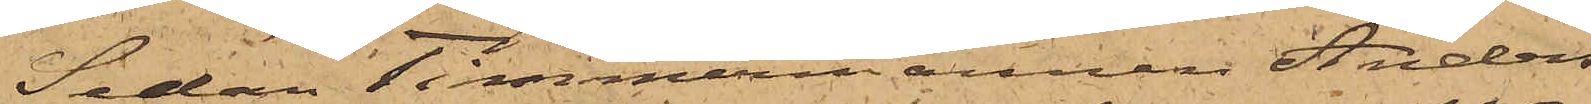Sedan Timmermannen Anders
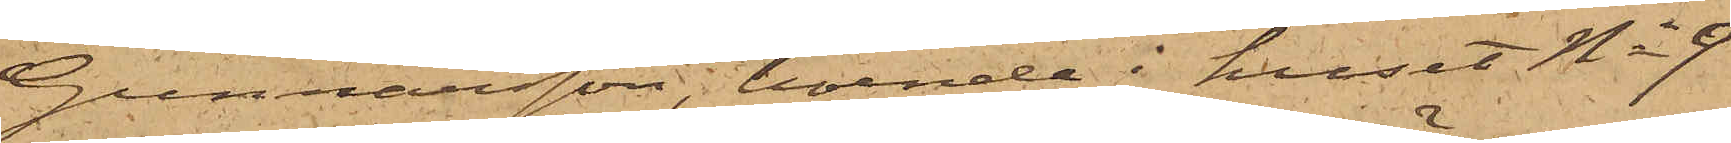Gunnarsson, boende i huset No 9
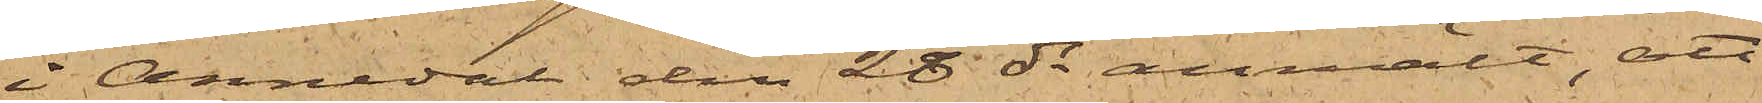i Annedal den 28 ds anmält, att
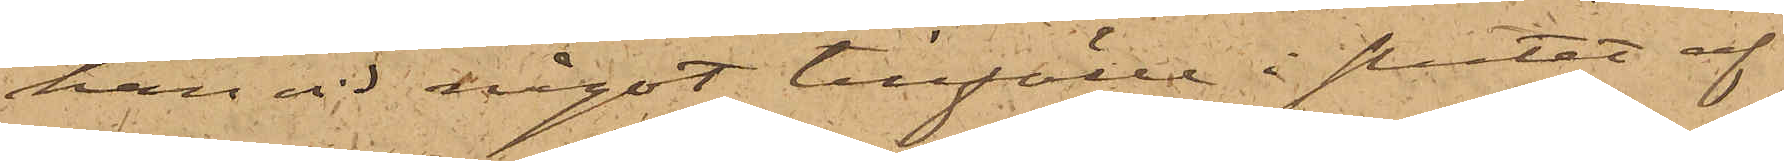han vid något tillfälle i slutet af
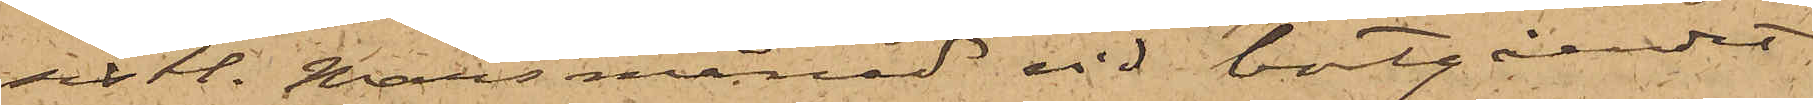sistl. Mars månad vid bortgåendet
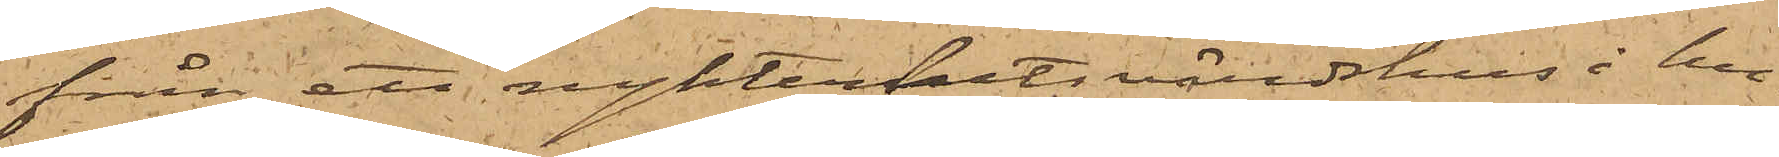från ett nykterhetsvärdshus i hu¬
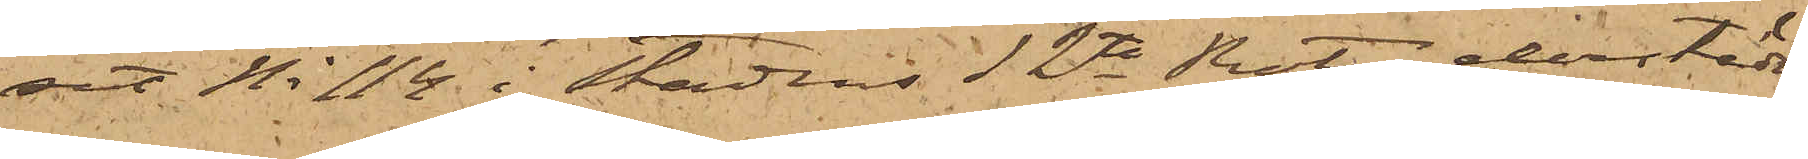set No 114 i Stadens 12te Rote derstädes
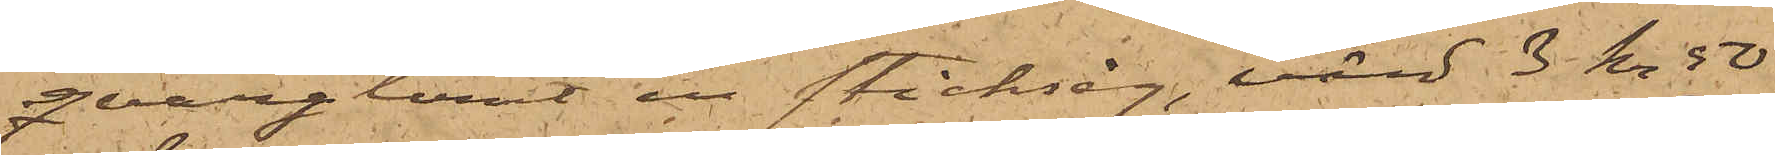qvarglömt en sticksåg, värd 3 kr 50
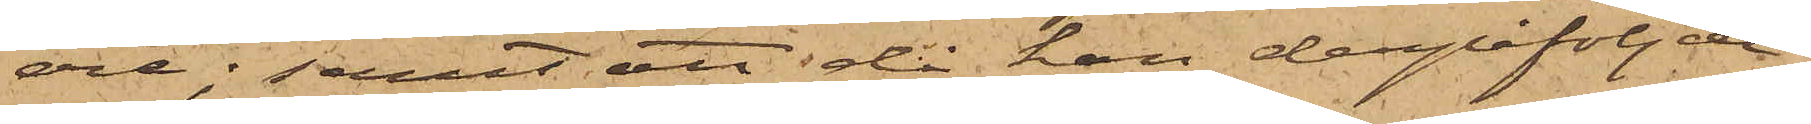öre; samt att då han derpåföljde
